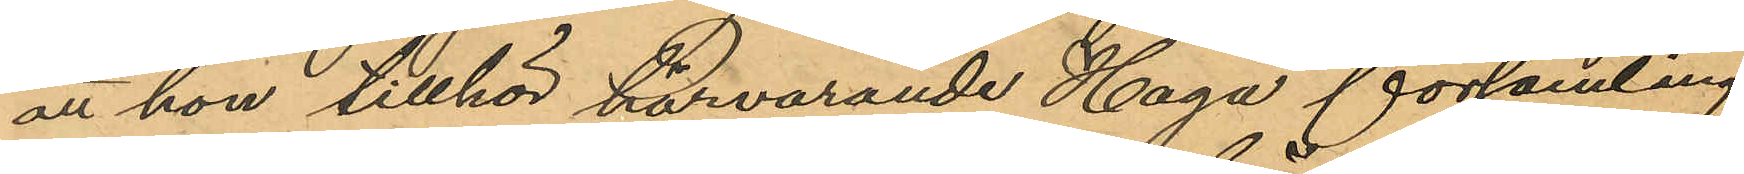att hon tillhör härvarande Haga församling.
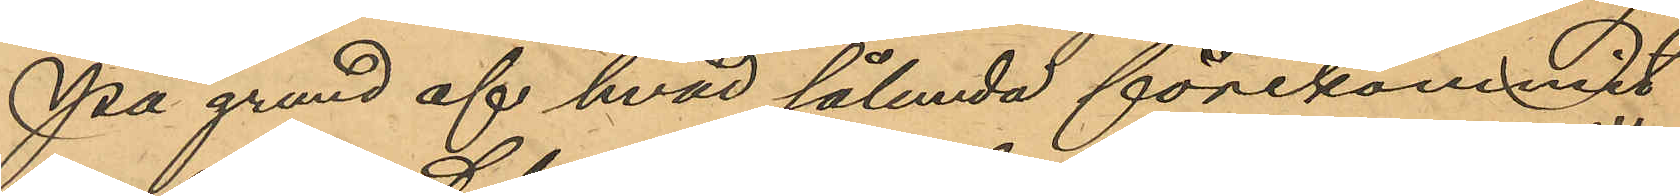På grund af hvad sålunda förekommitt
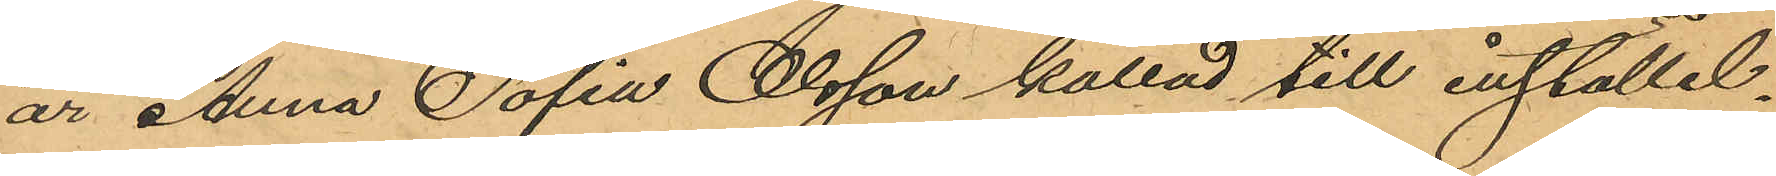är Anna Sofia Olsson kallad till inställel¬
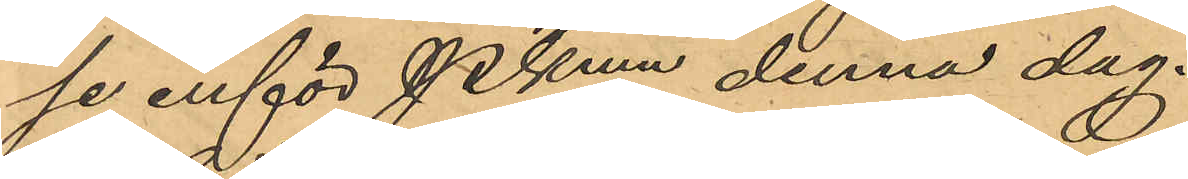se inför Pkmn denna dag.
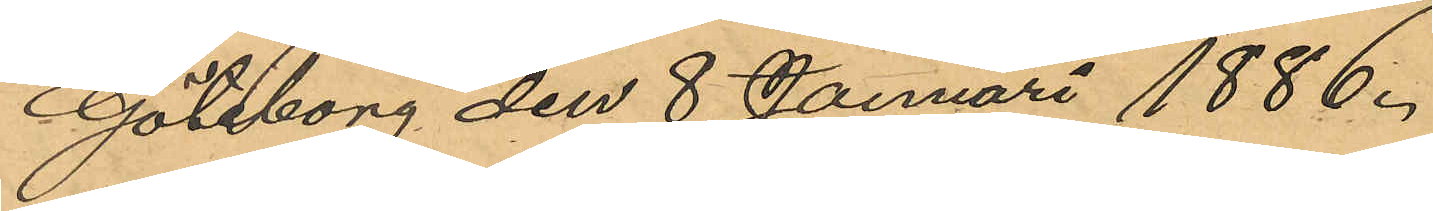Göteborg den 8 Januari 1886.
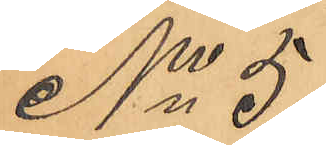No 5
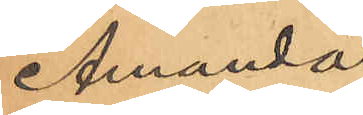Amanda
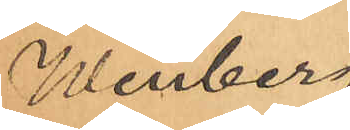Winberg
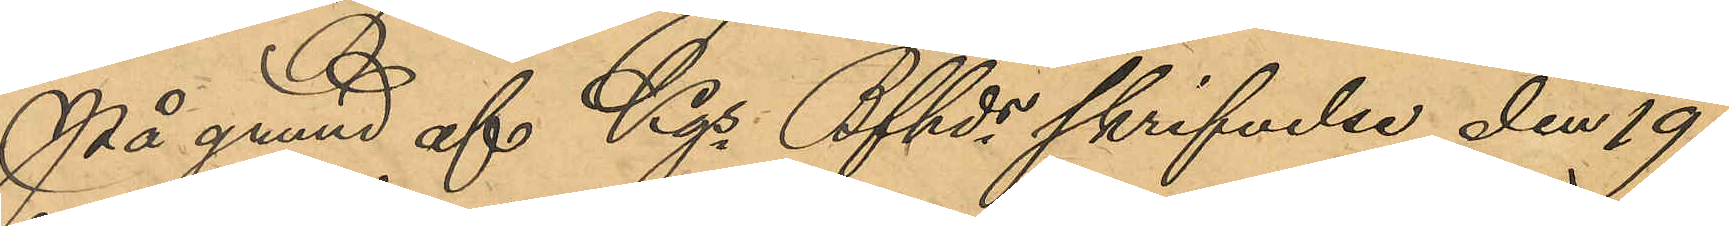På grund af Kgs Bfhds skrifvelse den 19
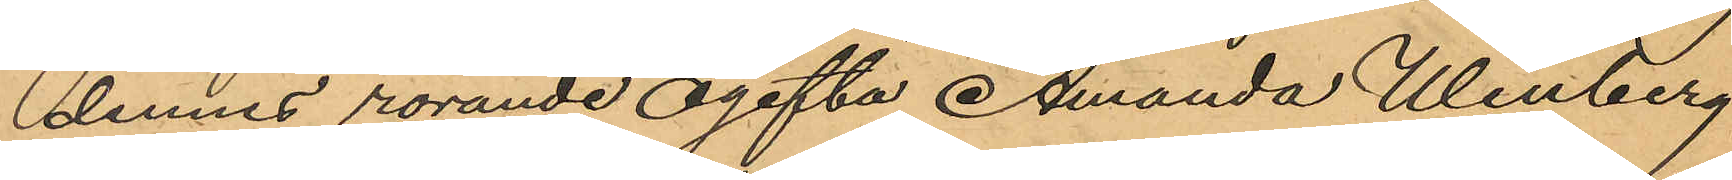dennes rörande ogifta Amanda Winberg,
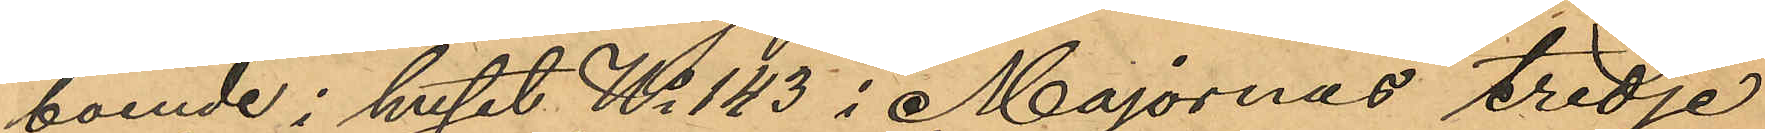boende i huset No 143 i Majornas tredje
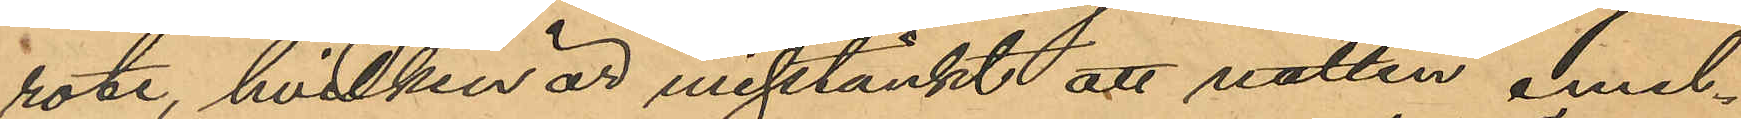rote, hvilken är misstänkt att natten emel¬
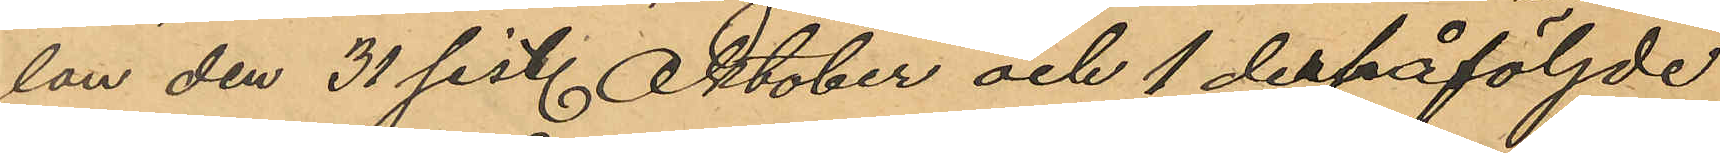lan den 31 sist. Oktober och 1 derpåföljde
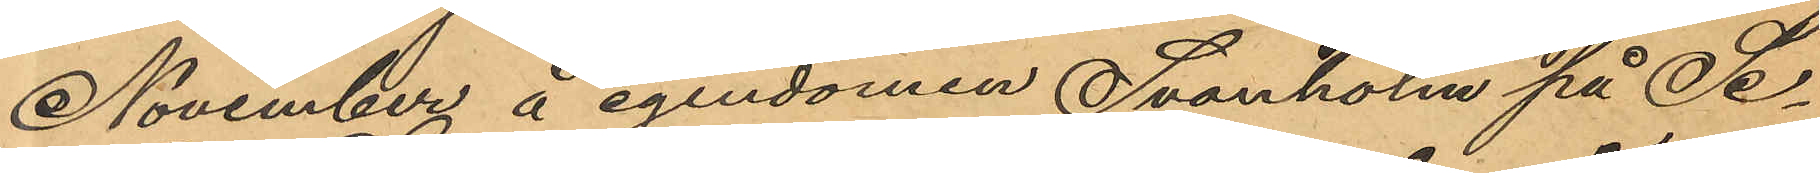November å egendomen Svanholm på Se¬
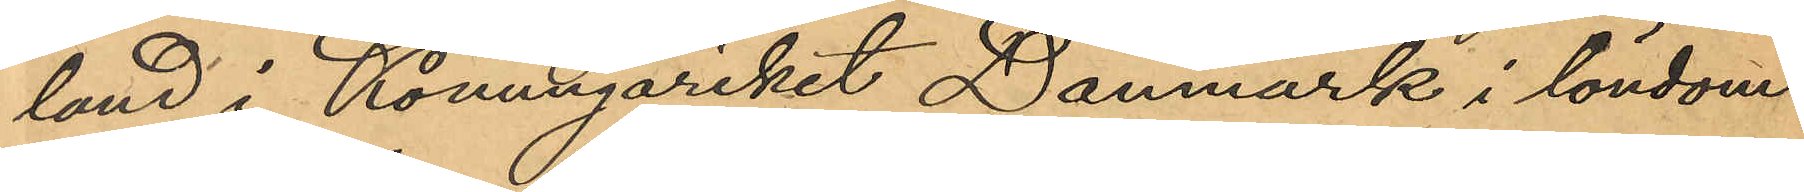land i Konungariket Danmark i löndom
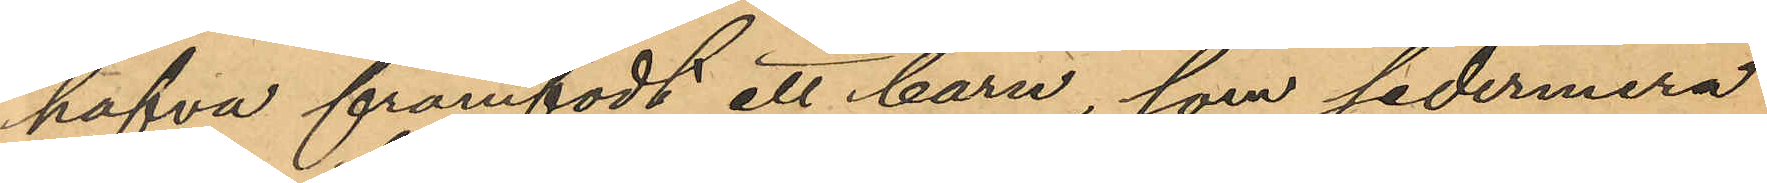hafva framfödt ett barn, som sedermera
